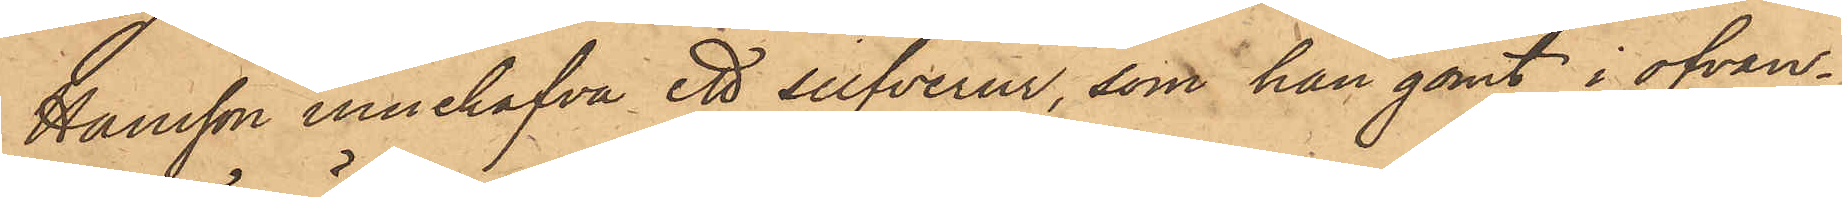Hansson innehafva ett silfverur, som han gömt i ofvan¬
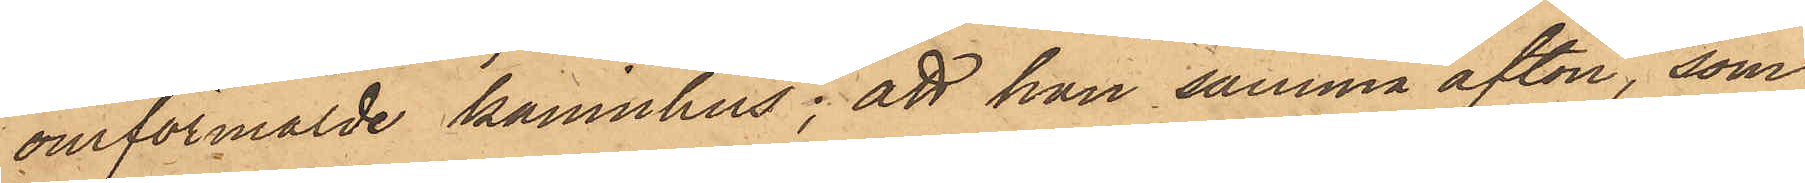omförmälde kaninhus; att hon samma afton, som
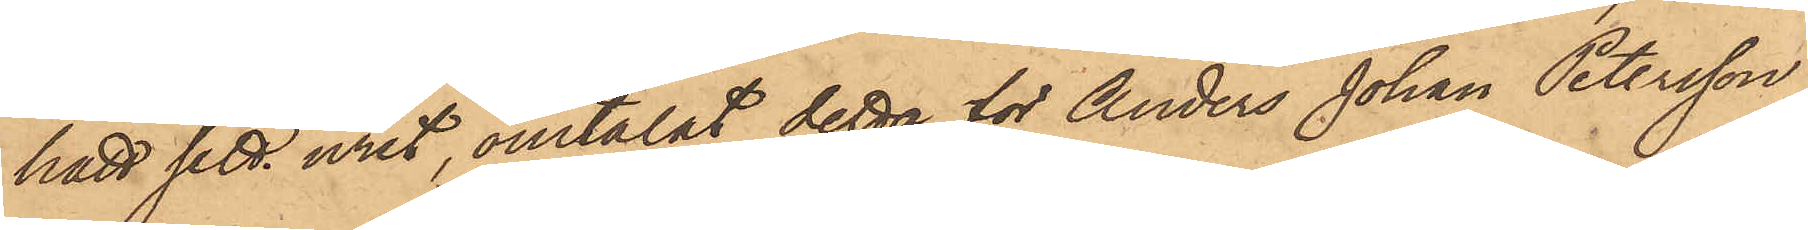hatt sett uret, omtalat detta för Anders Johan Petersson
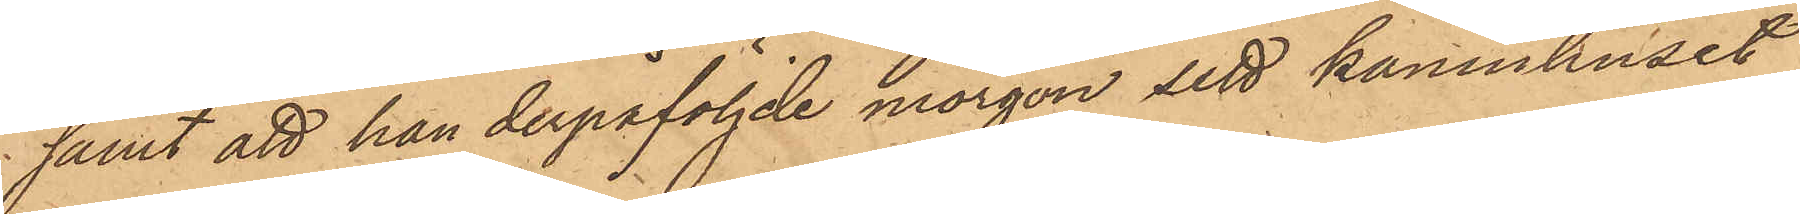samt att han derpåföljde morgon sett kaninhuset
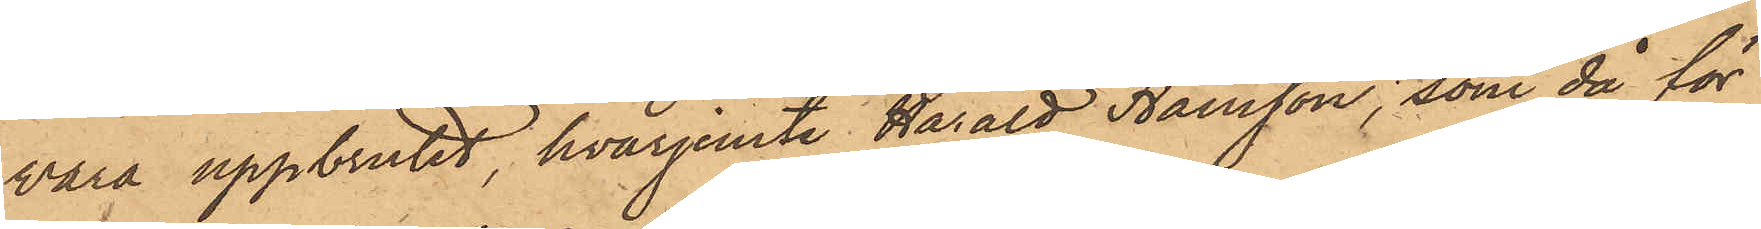vara uppbrutit, hvarjemte Harald Hansson, som då för
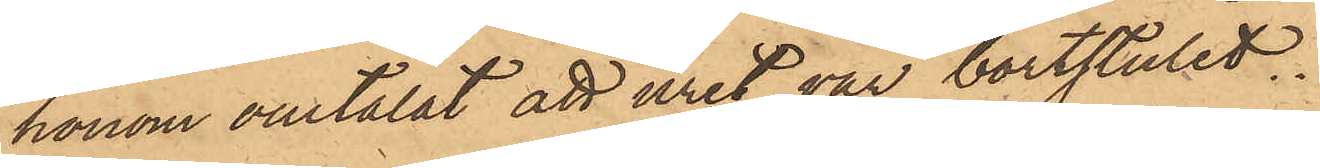honom omtalat att uret var bortstulet.
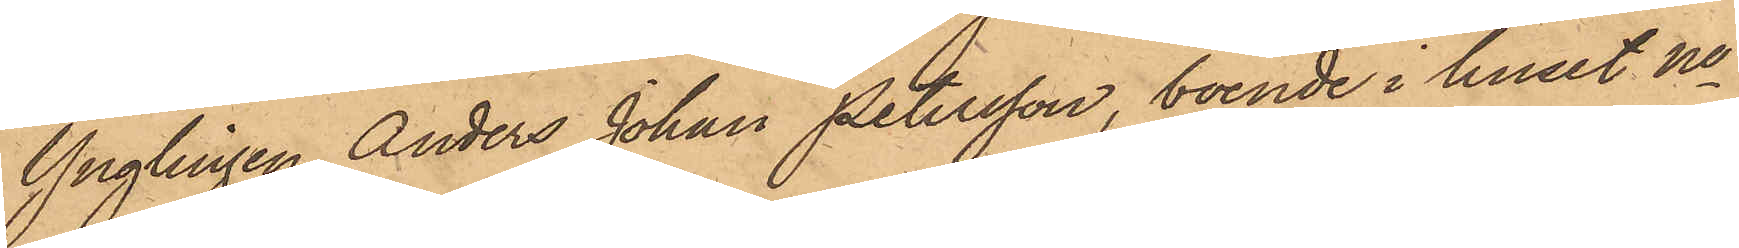Ynglingen Anders Johan Petersson, boende i huset No
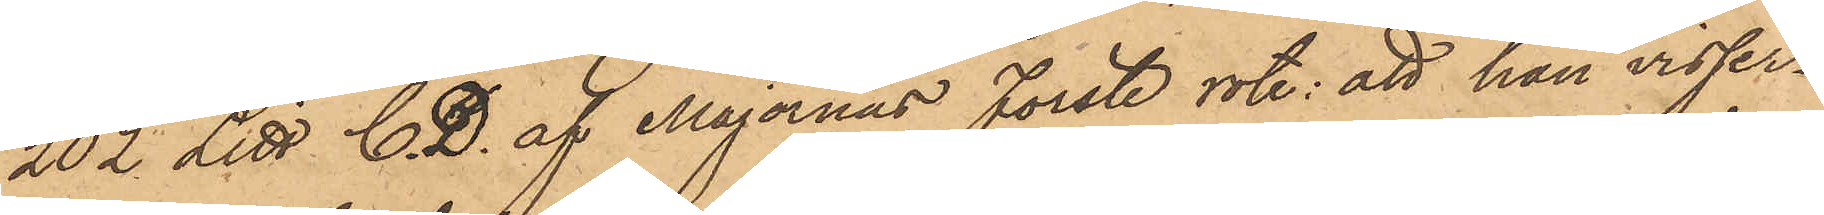202 Litt C. D. af Majornas Förste rote; att han visser¬
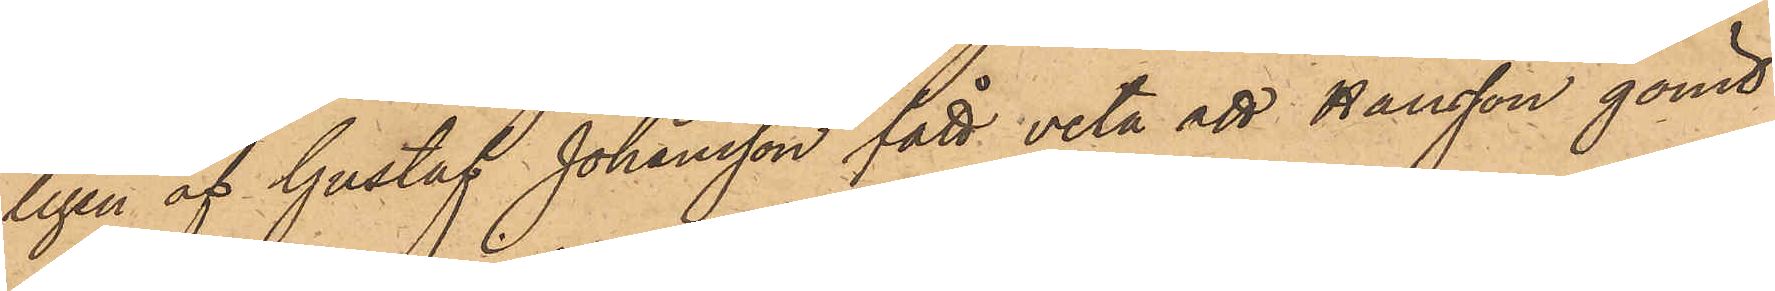ligen af Gustaf Johansson fått veta att Hansson gömt
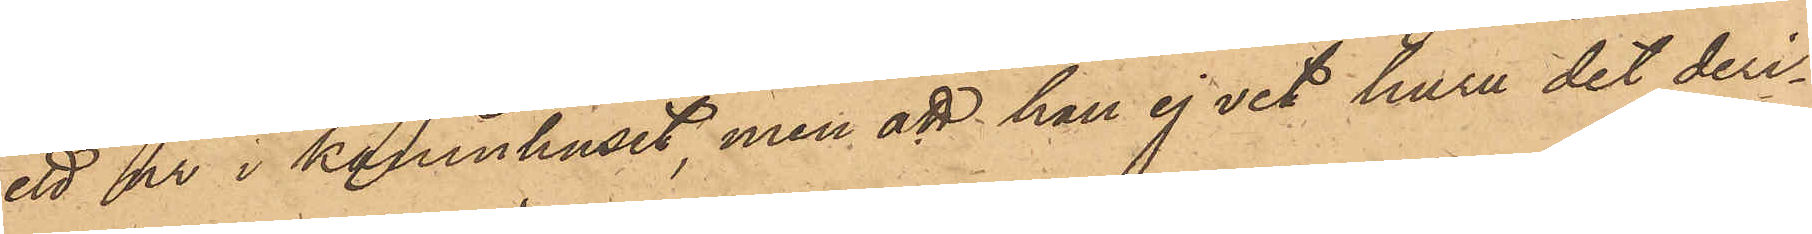ett ur i kaninhuset, men att han ej vet huru det deri¬
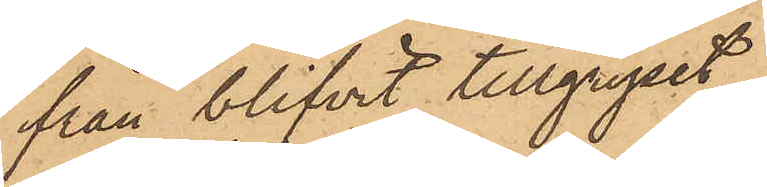från blifvit tillgripit.
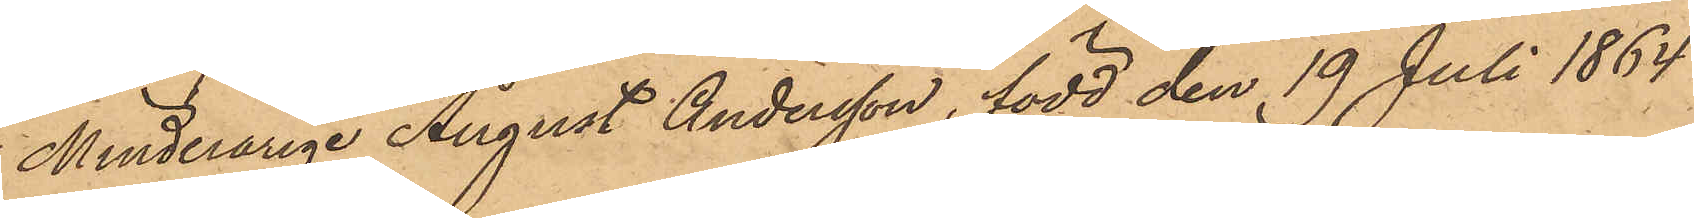Minderårige August Andersson, född den 19 Juli 1864
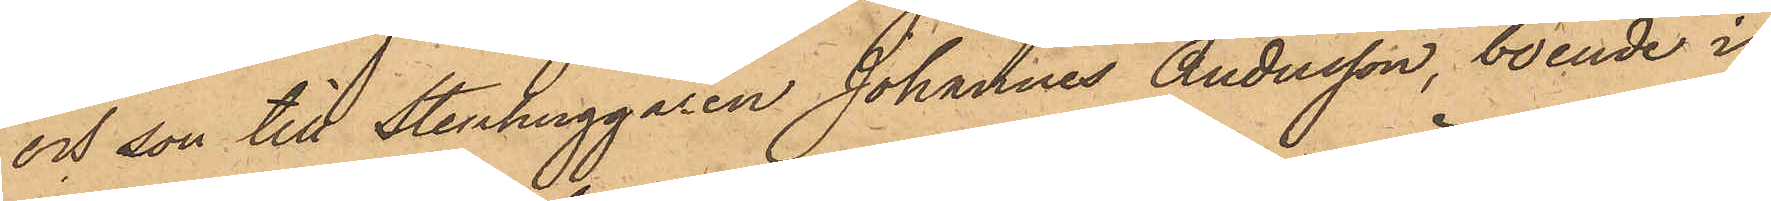och son till Stenhuggaren Johannes Andersson, boende i
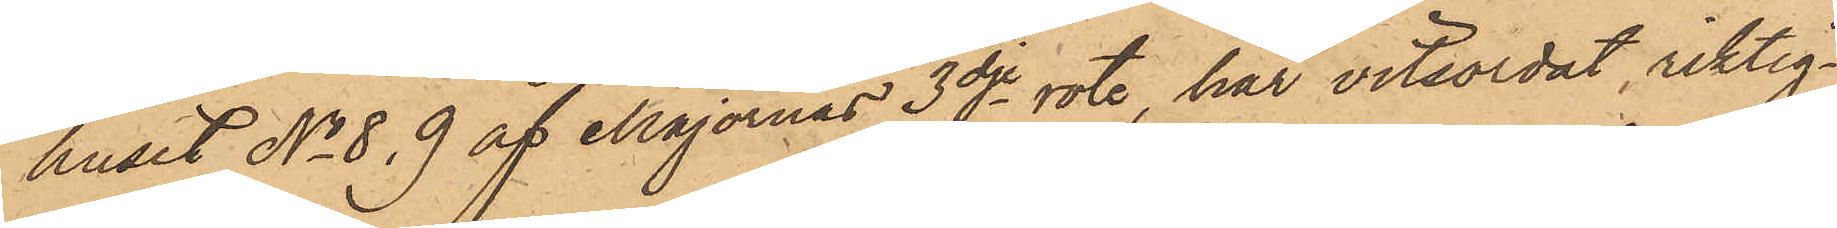huset No 8, 9 af Majornas 3dje rote, har vitsordat riktig¬
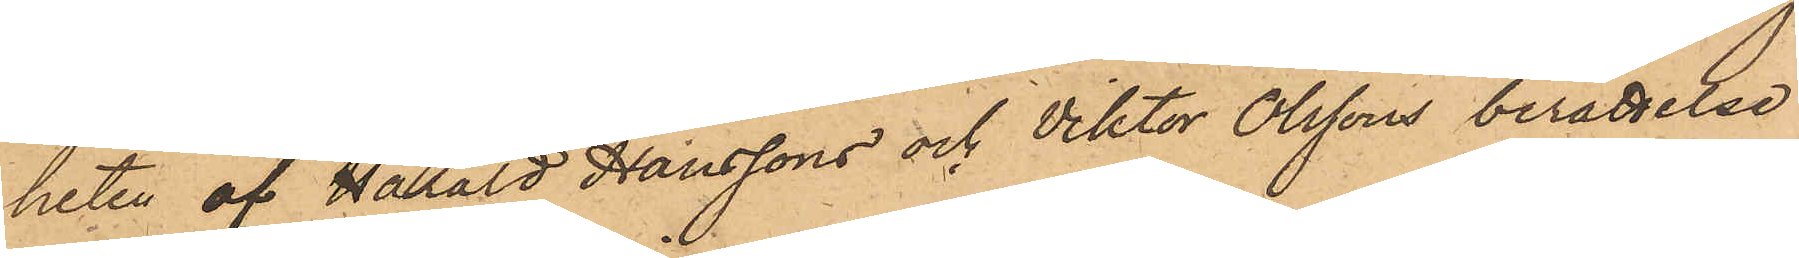heten af Harard Hanssons och Viktor Olssons berättelse
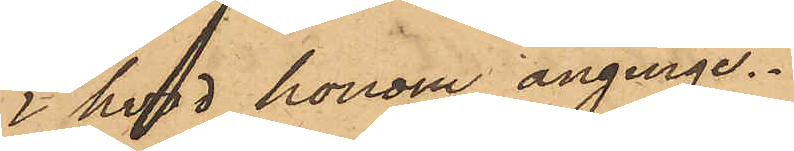i hvad honom anginge.
